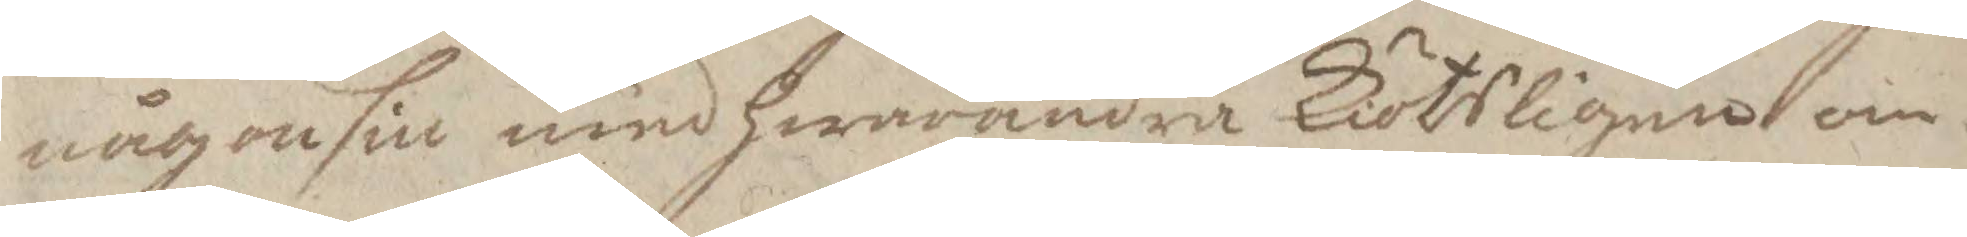någonsin med hwarandra Kiötsligen om¬
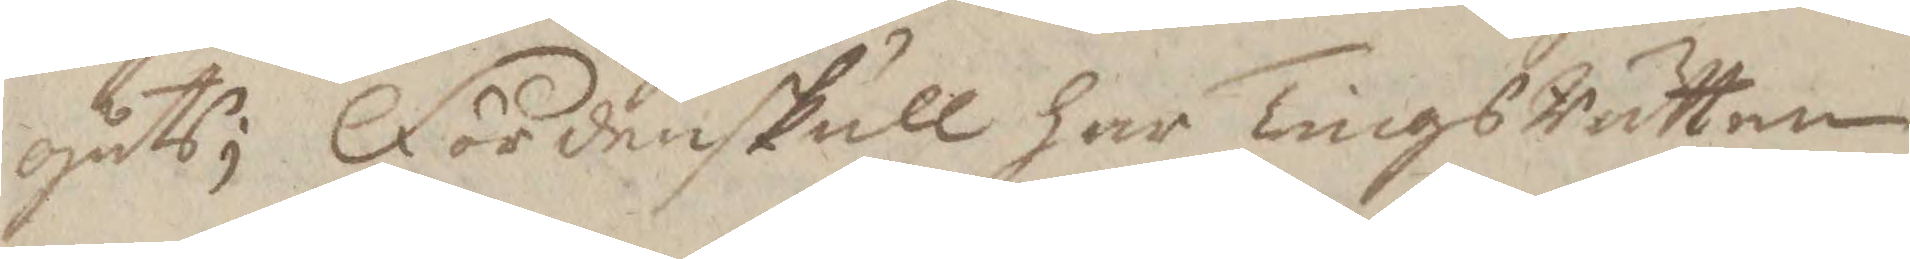gådts; Fördenskull har TingsRätten
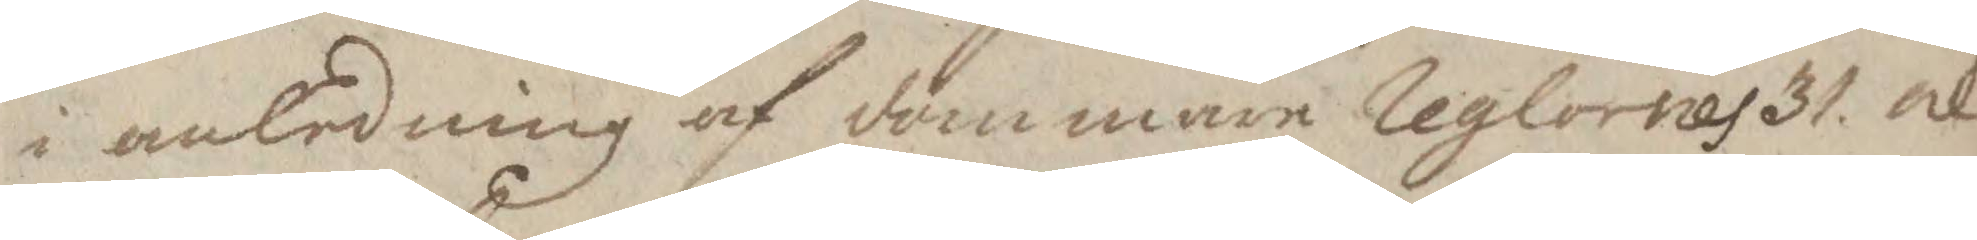i anledning af dommare Reglornes 31 och
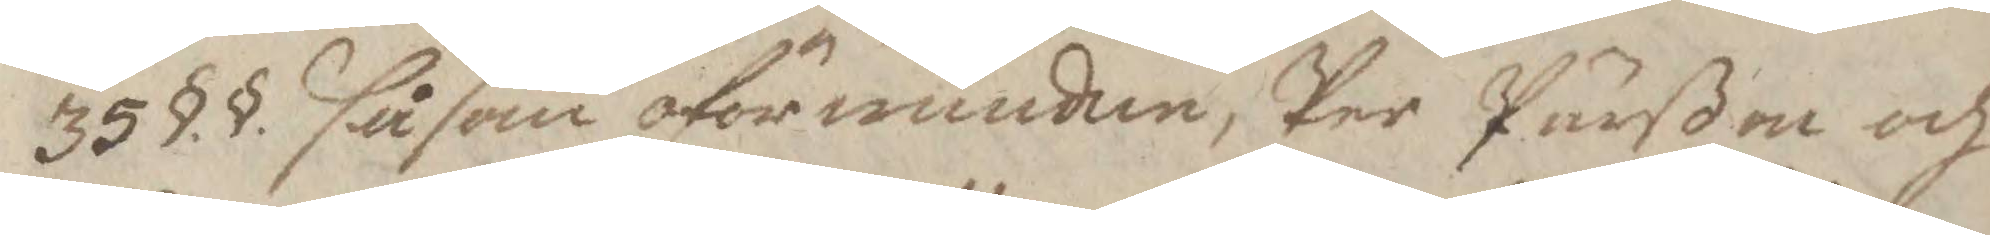35 §§ såsom oförwunden, Per Pärßon och
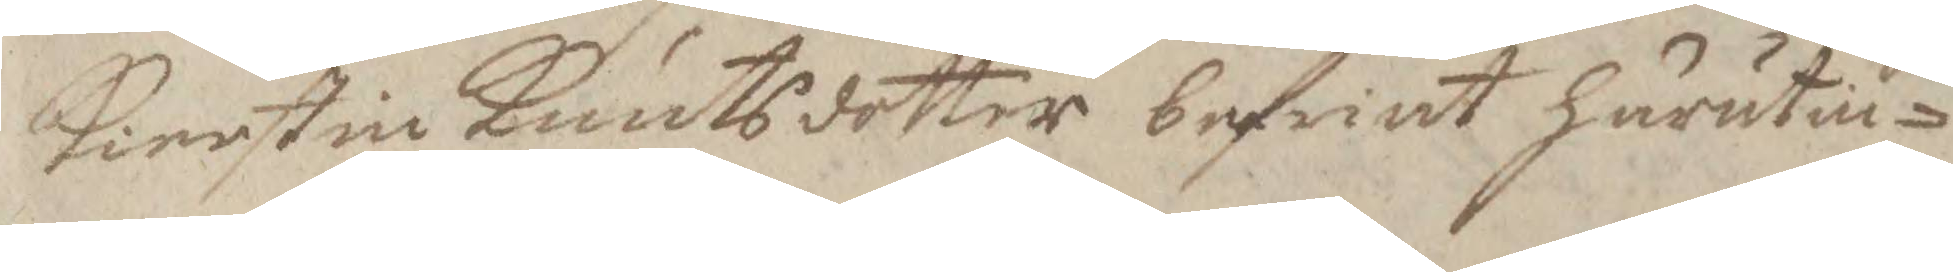Kierstin Knutsdotter befriat härutin¬
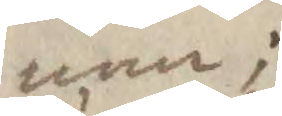nan;
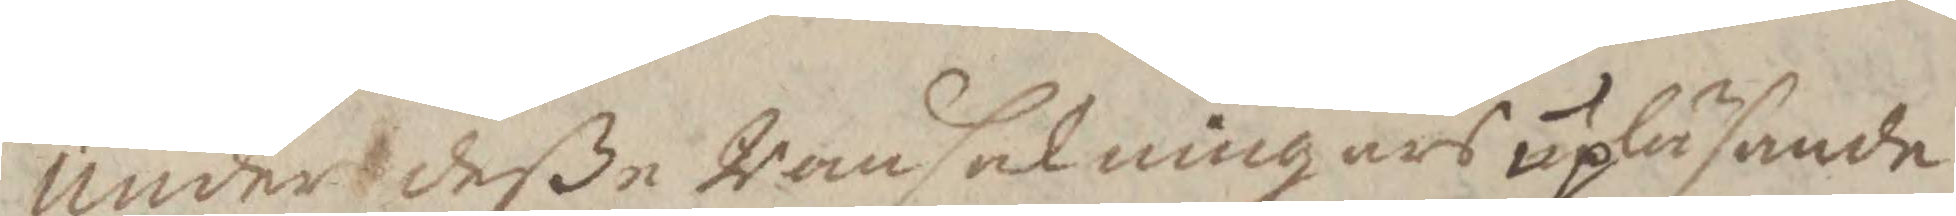Under deße Ransakningars upläsande
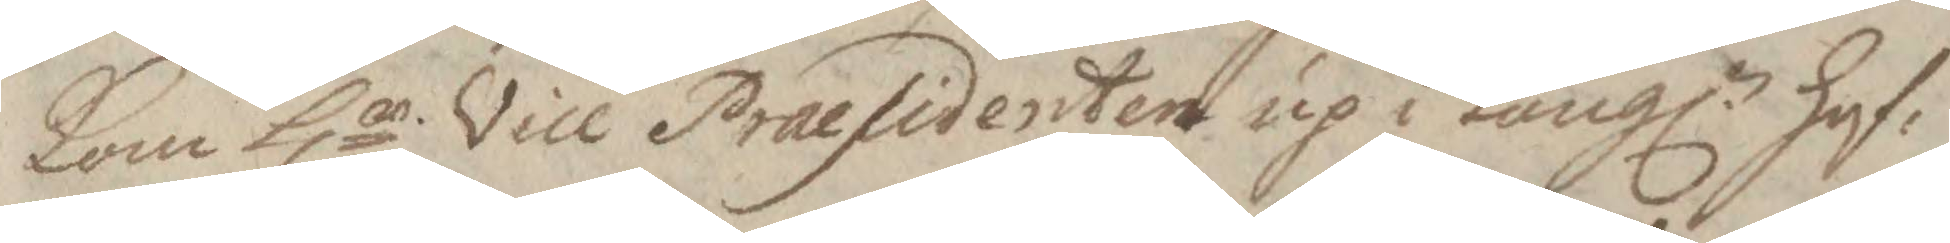Kom Hr Vice Praesidenten up i Kongl. hof¬
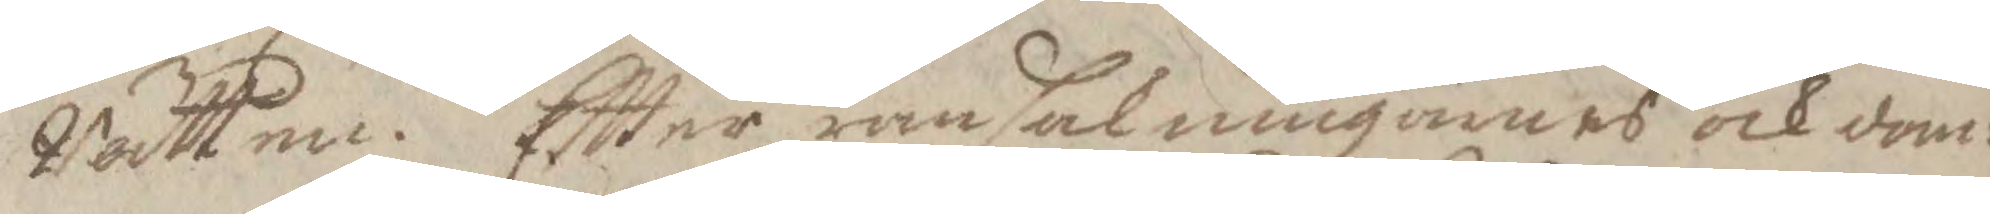Rätten. Eftter ransakningarnas och dom¬
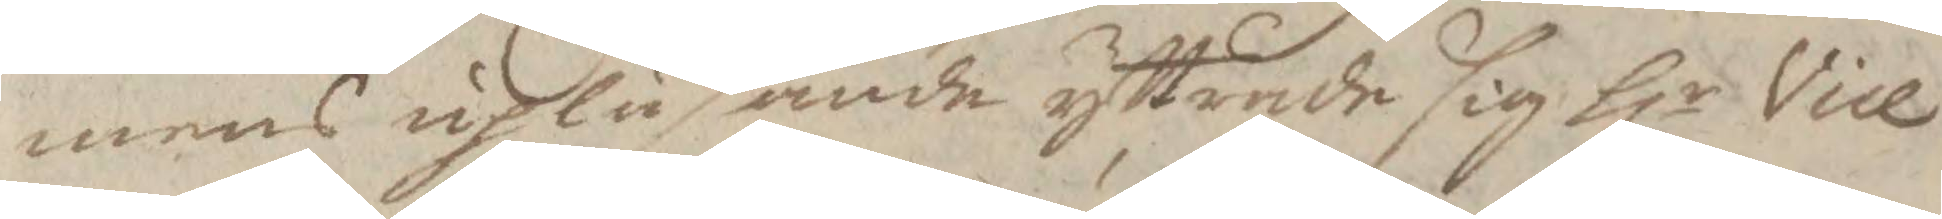mens upläsande yttrade sig Hr Vice
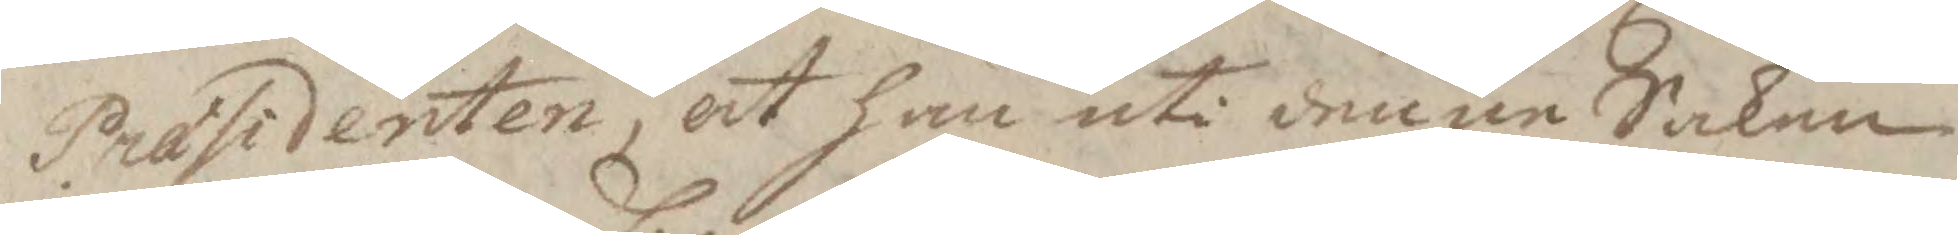Præsidenten, at han uti denne Saken
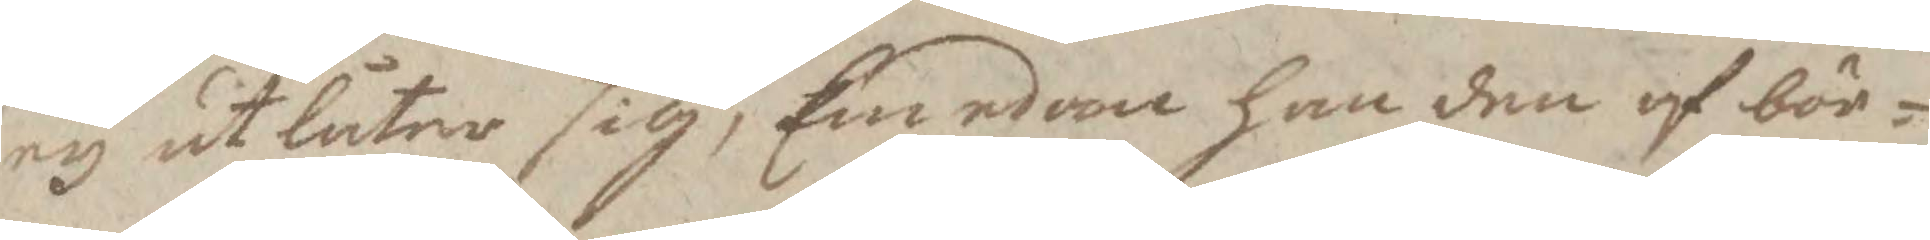ey utlåter sig, Emedan han den af bör¬
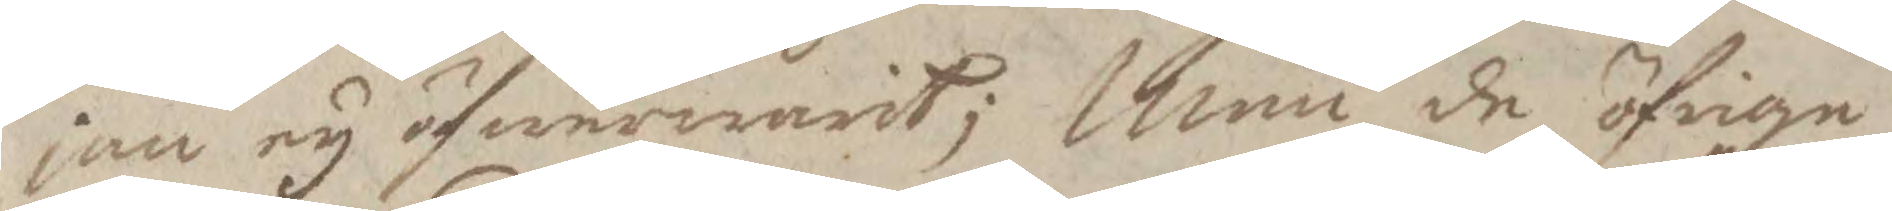jan ey öfwerwarit; Men de öfrige
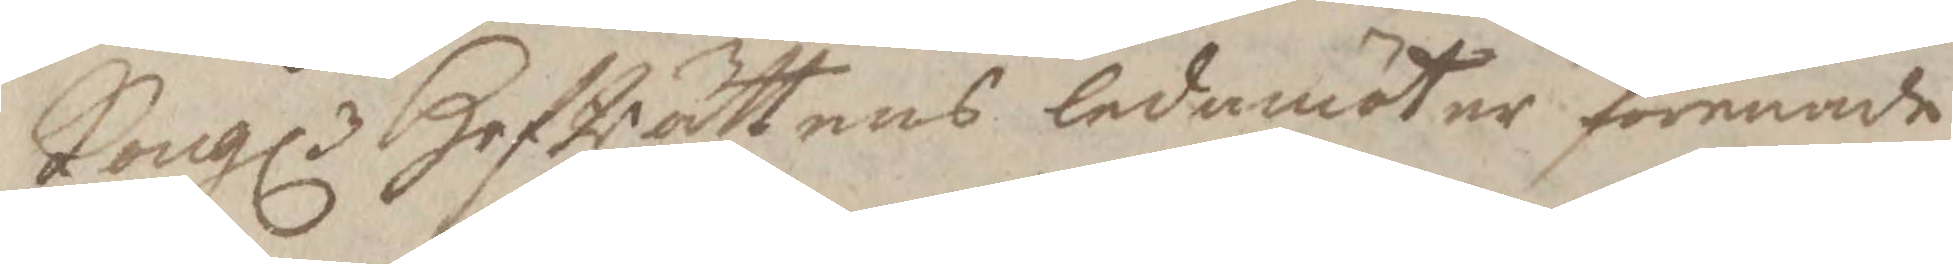Kongl. HofRättens ledamöter förenade
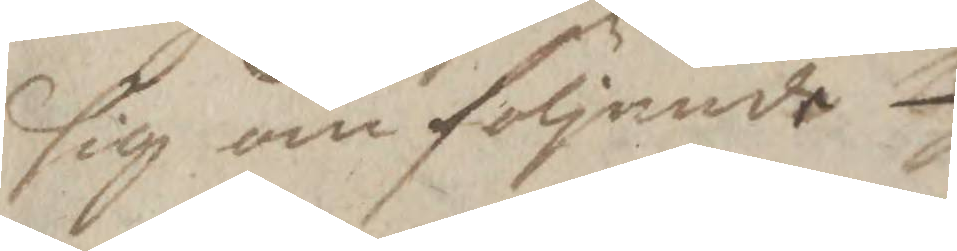sig om följande.
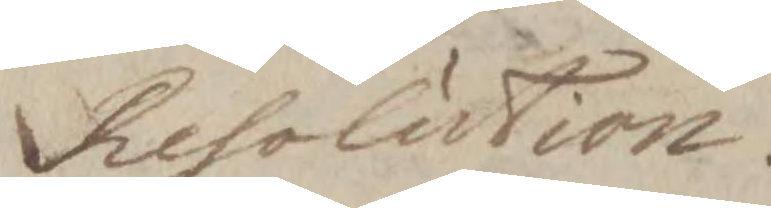Resolution.
